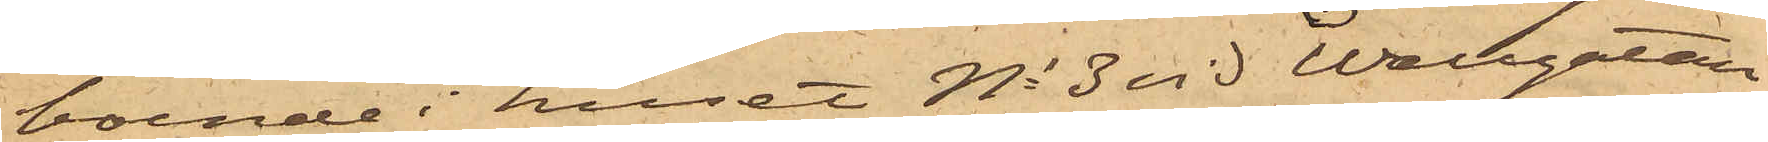boende i huset No 3 vid Wallgatan
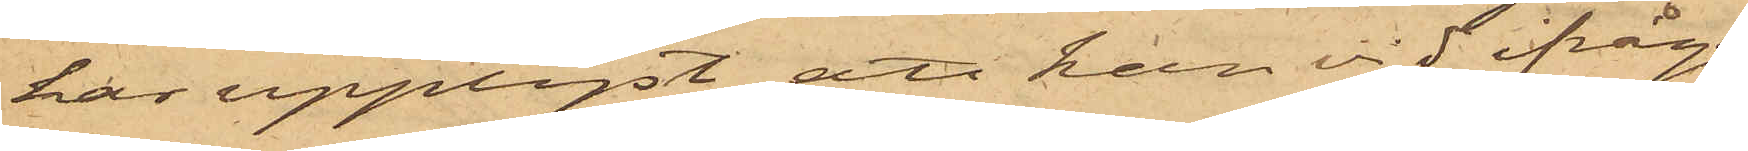har upplyst, att han vid ifråga¬
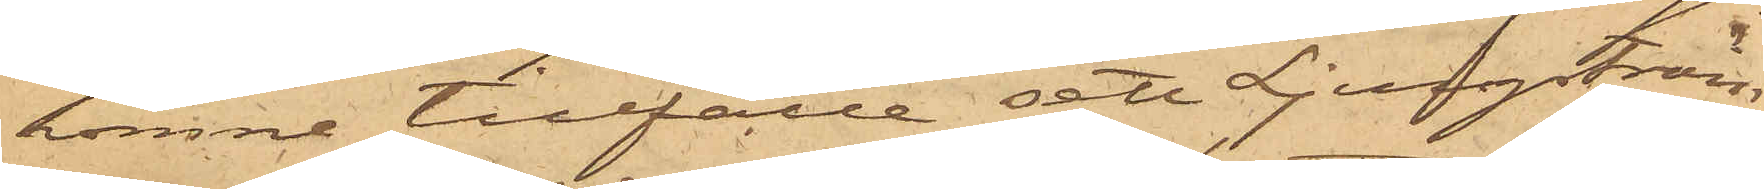komne tillfälle sett Ljungström
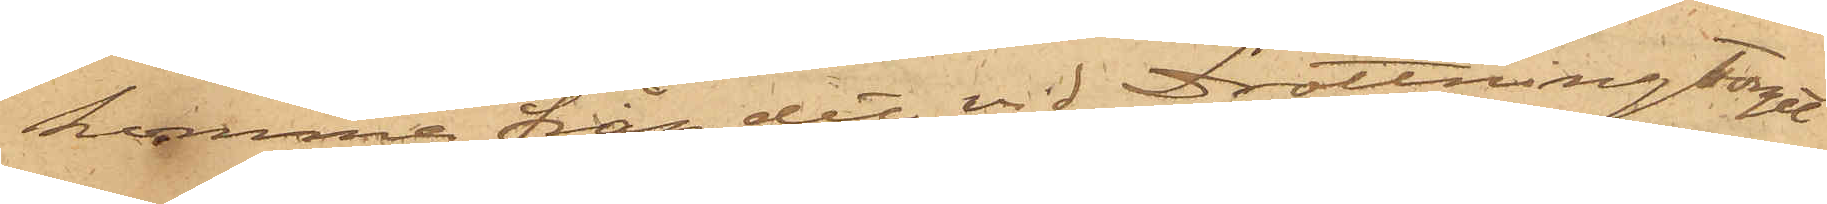komma från det vid Drottningtorget
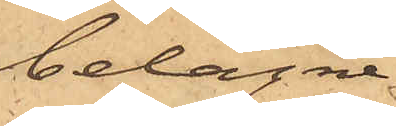belägne
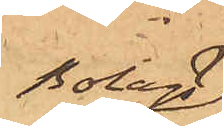Bolags¬
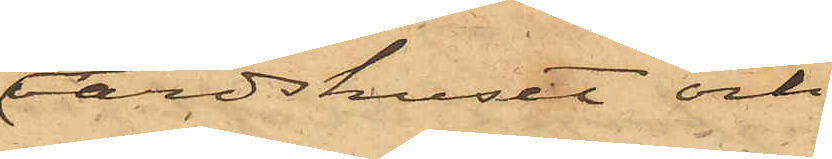värdshuset och
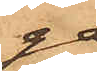gå
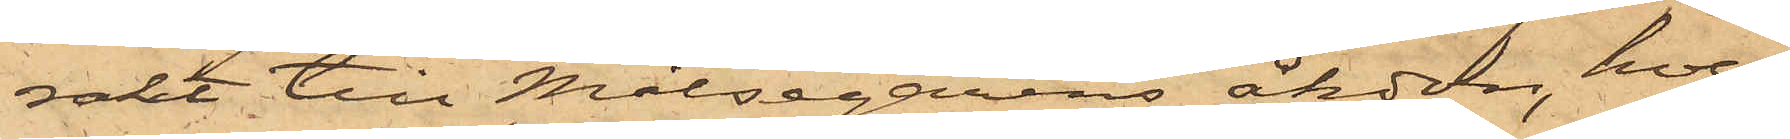rakt till Målsegarens åkdon, hvar¬
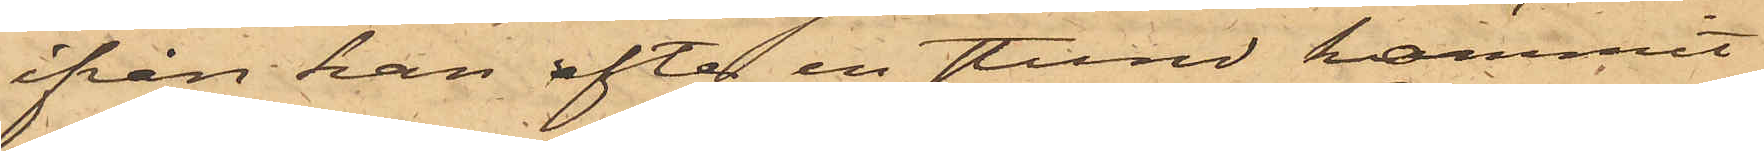ifrån han efter en stund kommit
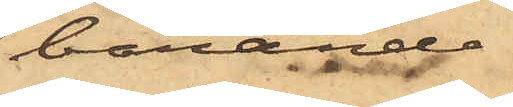bärande
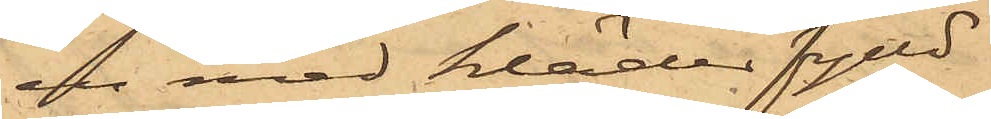en med kläder fylld
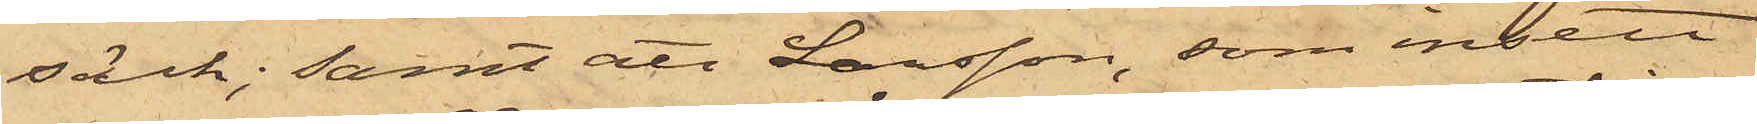säck; samt att Larsson, som insett
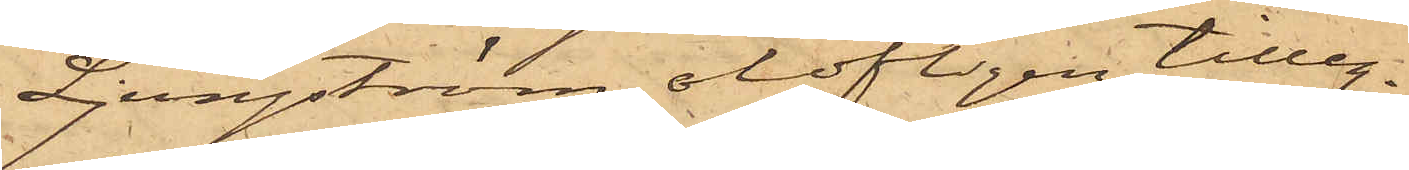Ljungström olofligen tilleg¬
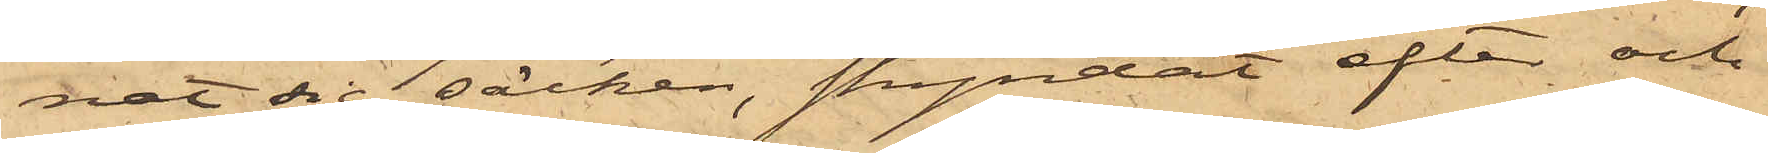nat sig säcken, skyndat efter och
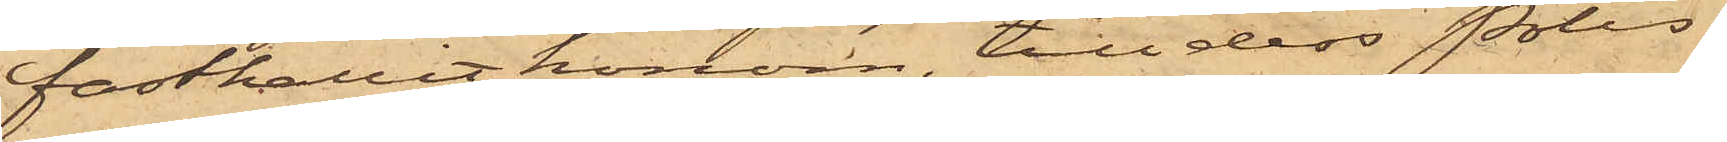fasthållit honom till dess Polis¬
